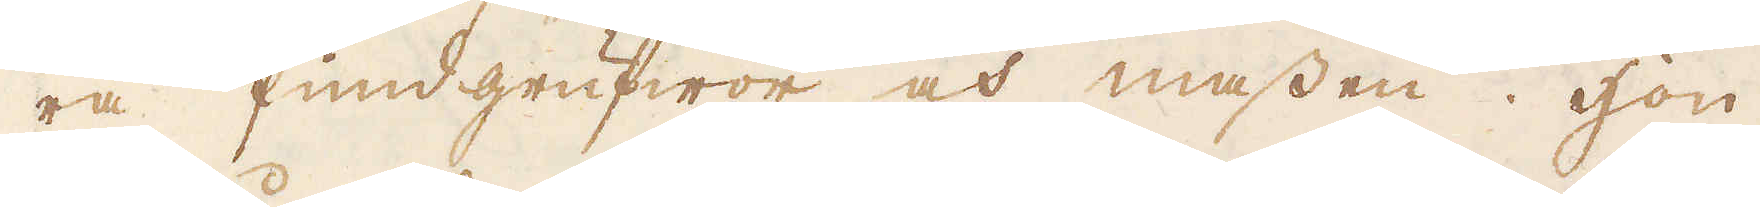ra fundgrufwor och massen. Hon
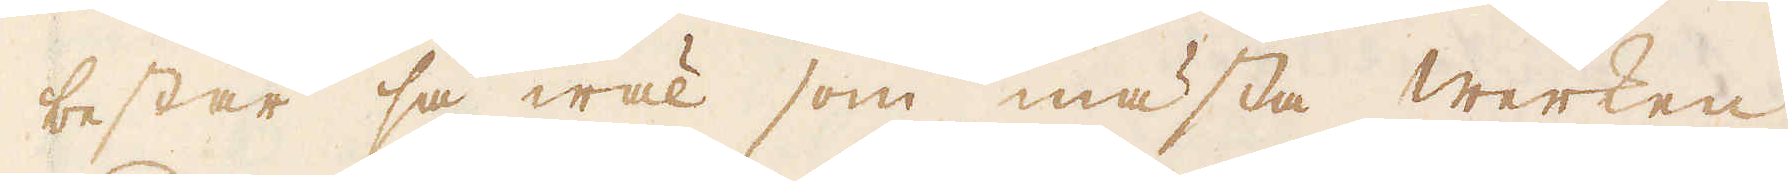består så wäl som mästa werken
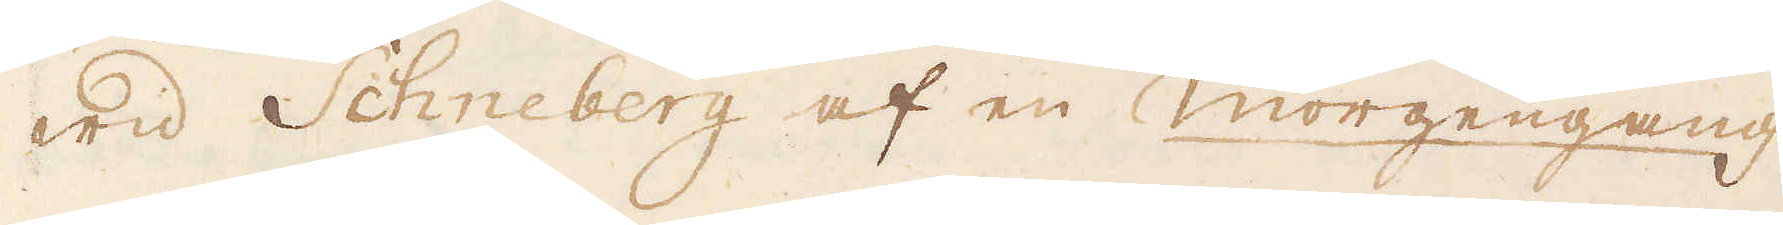wid Schneberg af en Morgengang,
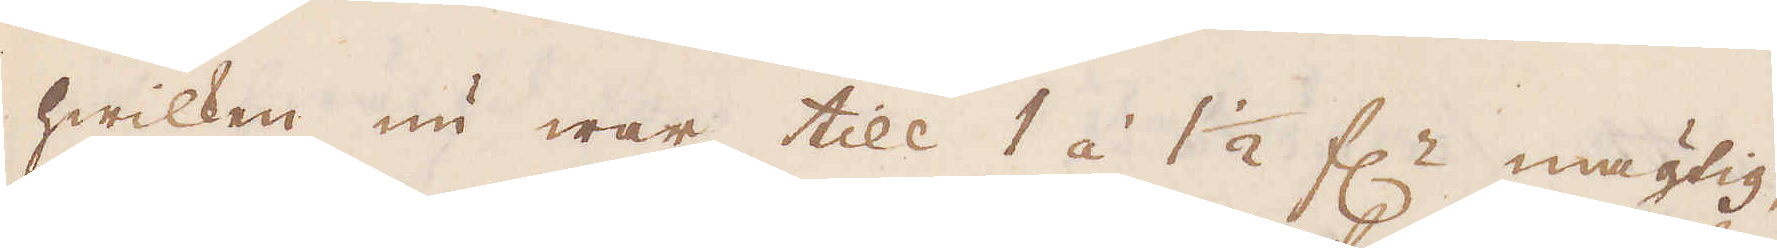hwilken nu war till 1 á 1 1/2 f:r mägtig,
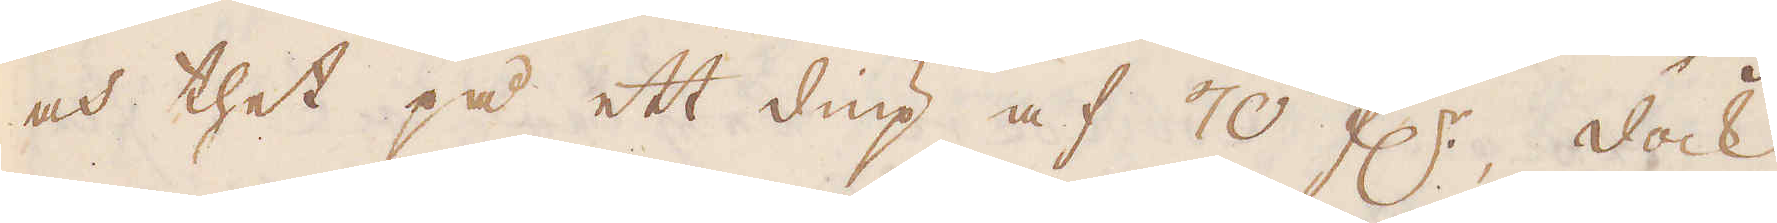och thet på ett diup af 70 f:r, dock
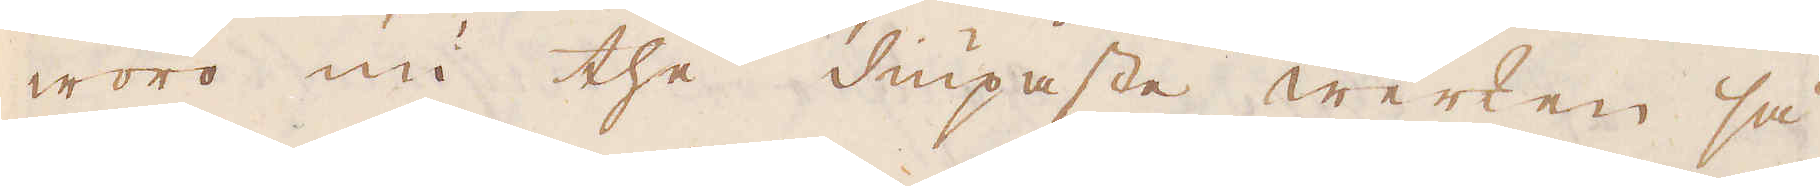woro nu the diupaste werken så
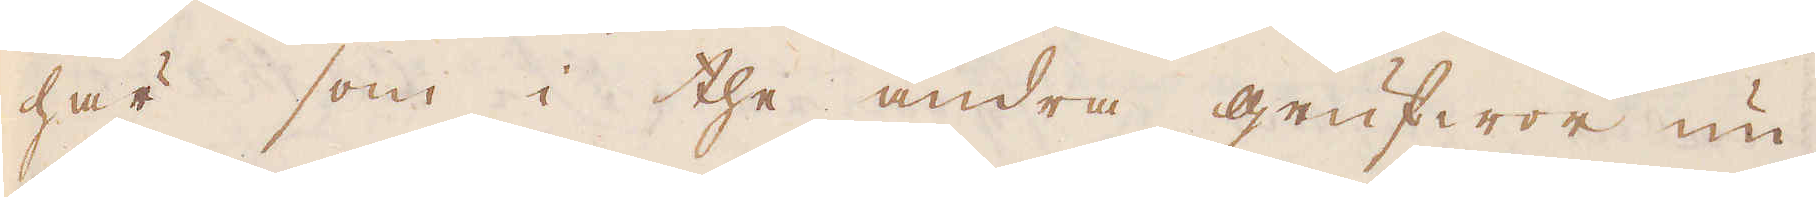här som i the andra grufwor un-
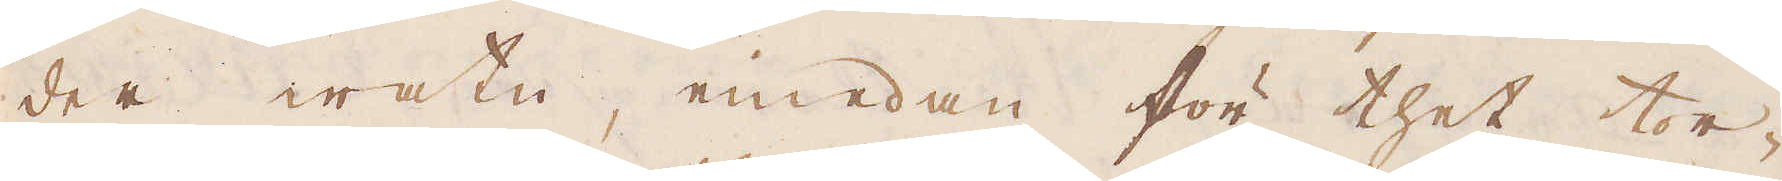der watn, emedan för thet tor-
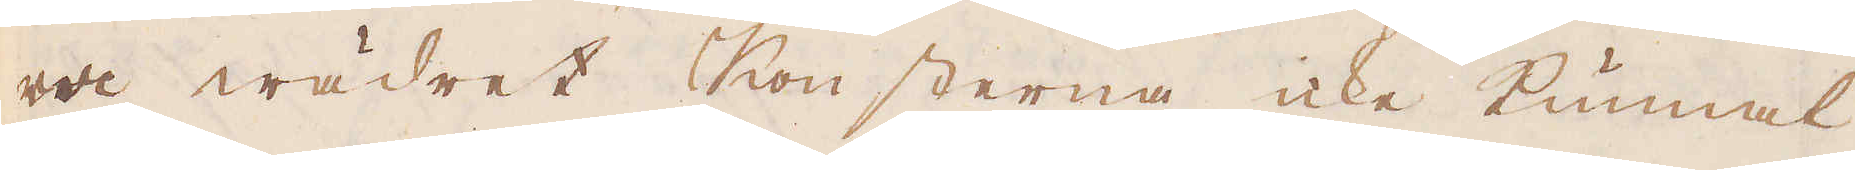ra wädret Konsterna icke kunnat
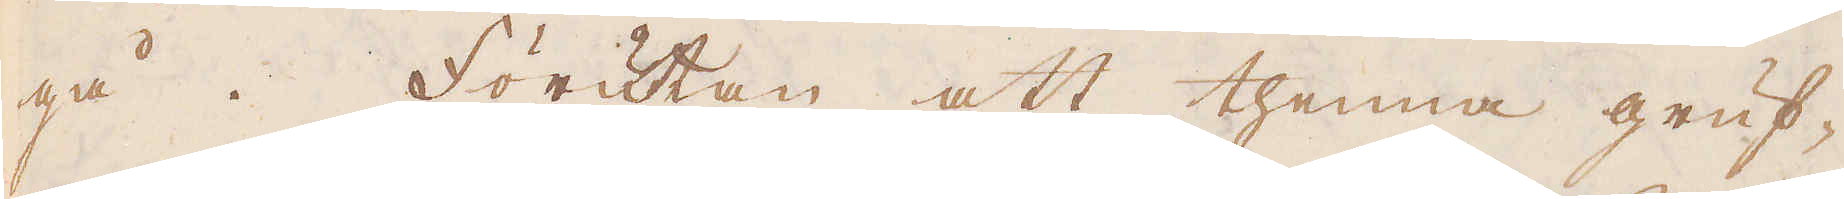gå. Förutan att thenna gruf-
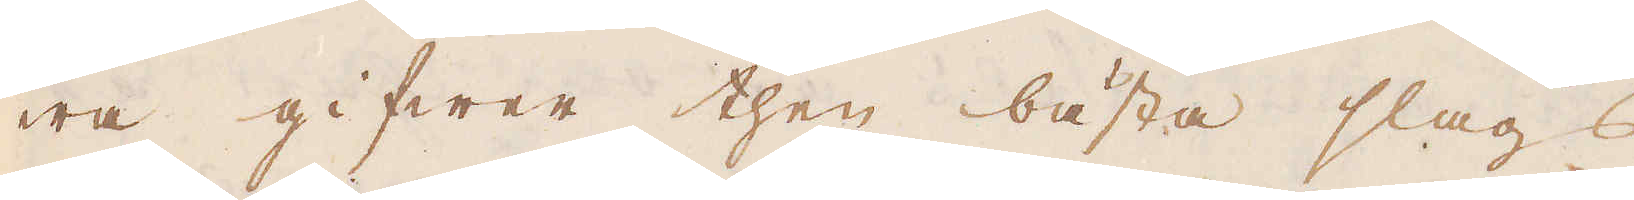wa gifwer then bästa slags
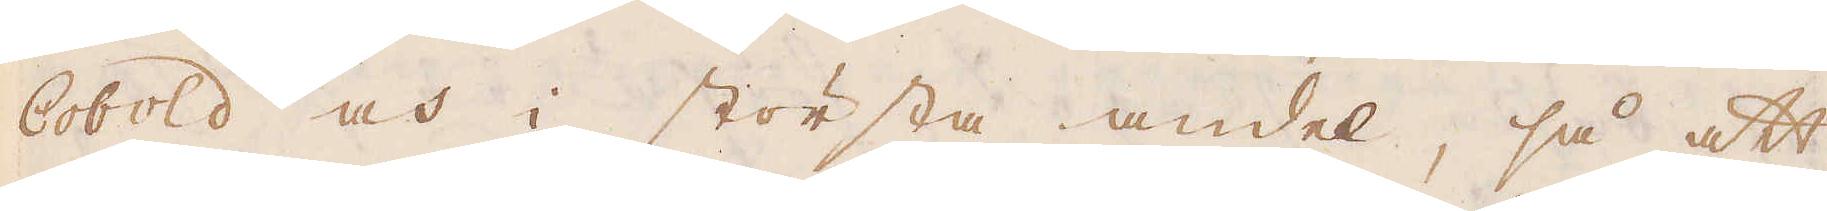Cobold och i största andel, så att
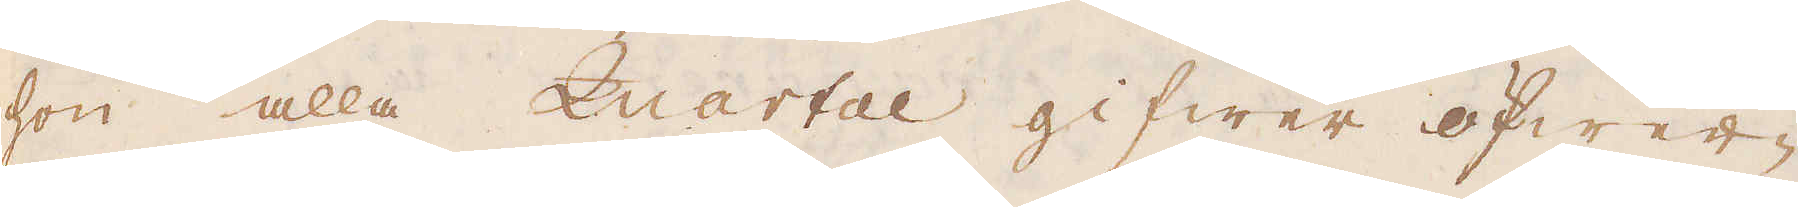som alla Quartal gifwer öfwer-
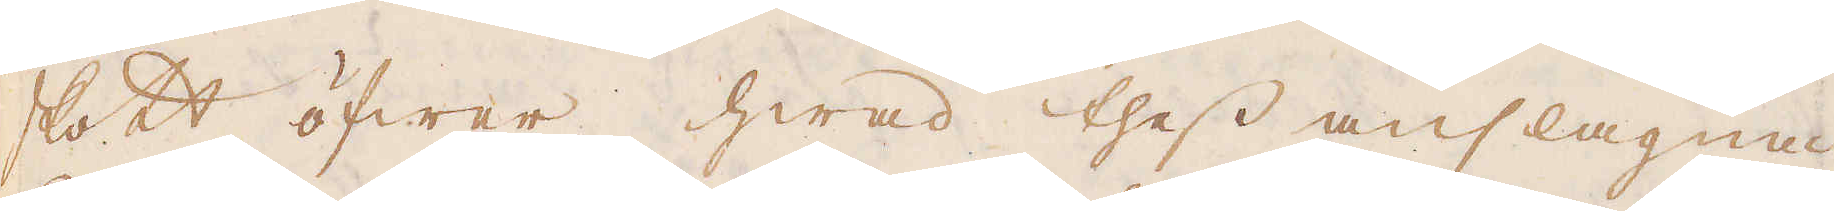skott öfwer hwad thess anslagna
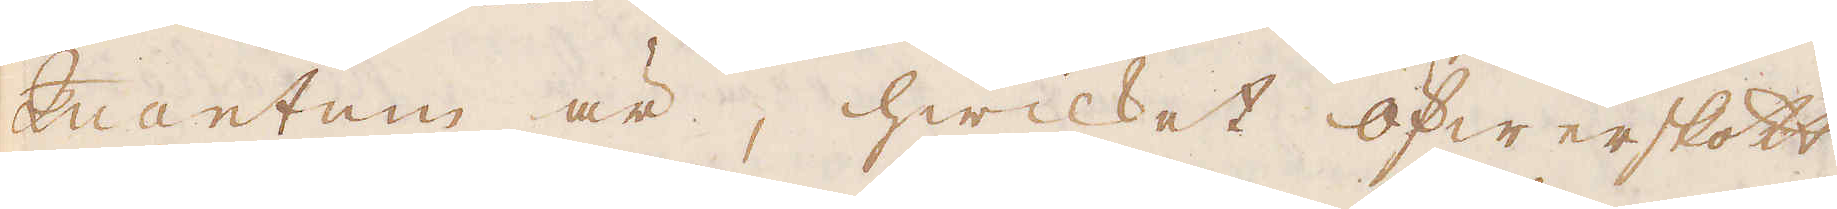Quantum är, hwilket öfwerskott
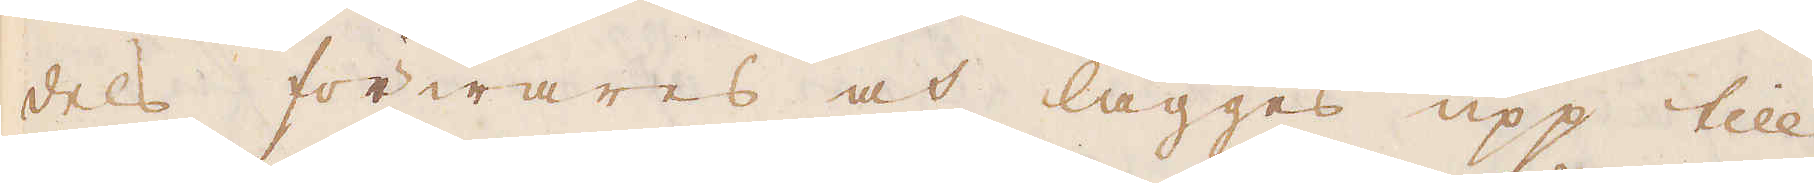dels förwares och lägges upp till
